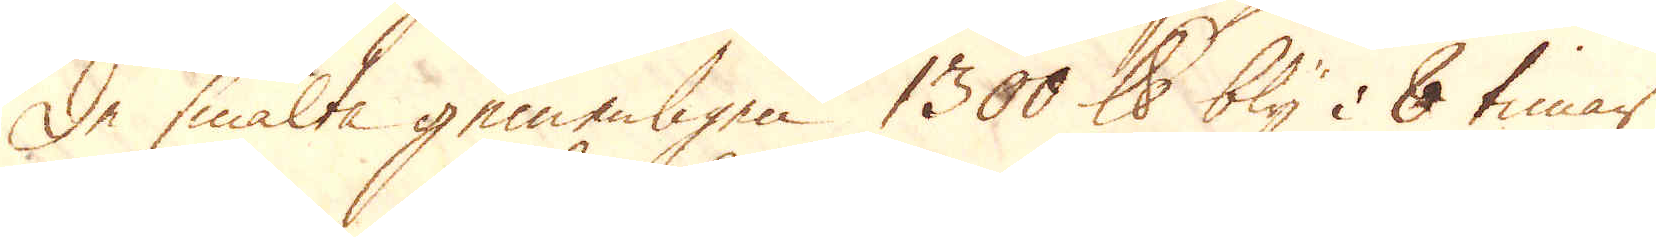De smälta gemenligen 1300 skålpund bly i 8 timar
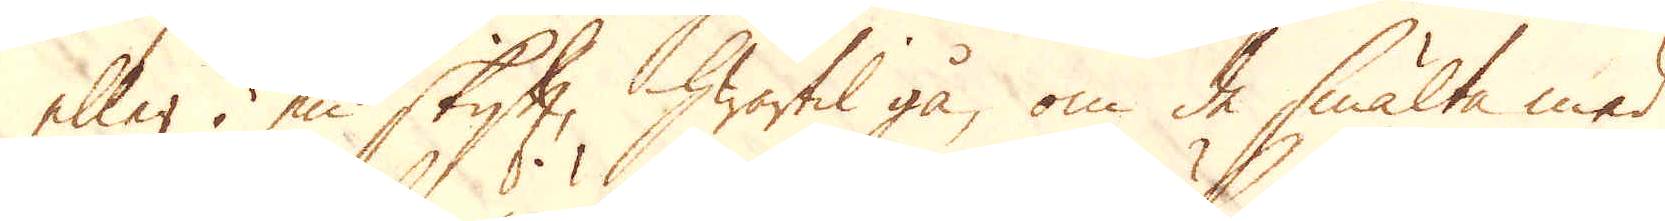eller i en skift, hwartil gå, om de smälta med
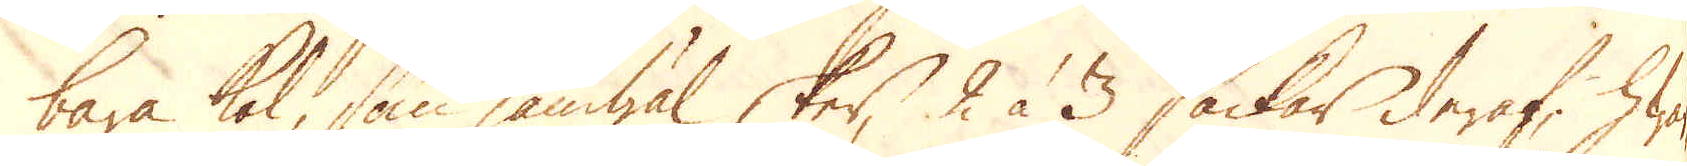bara kol, som jämwäl sker, 2 à 3 säckar deraf, hwar-
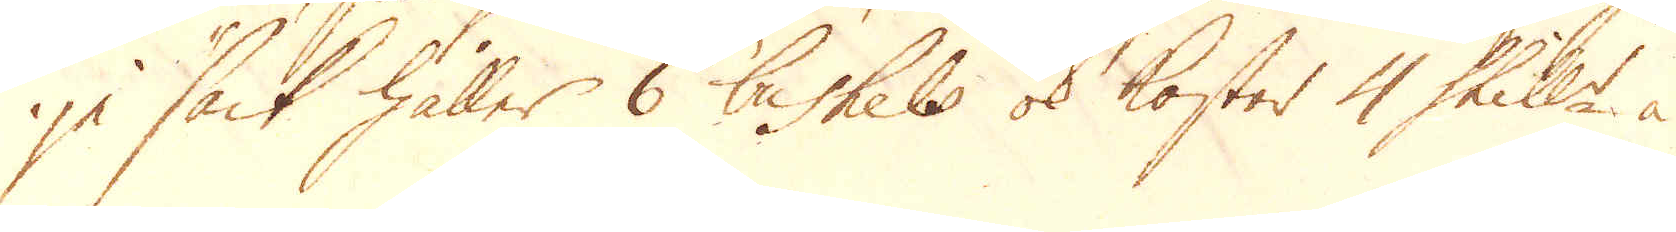je säck håller 6 bushels ok kostar 4 Skill:r à
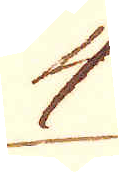4
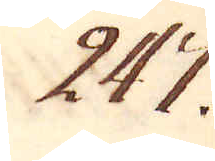247.
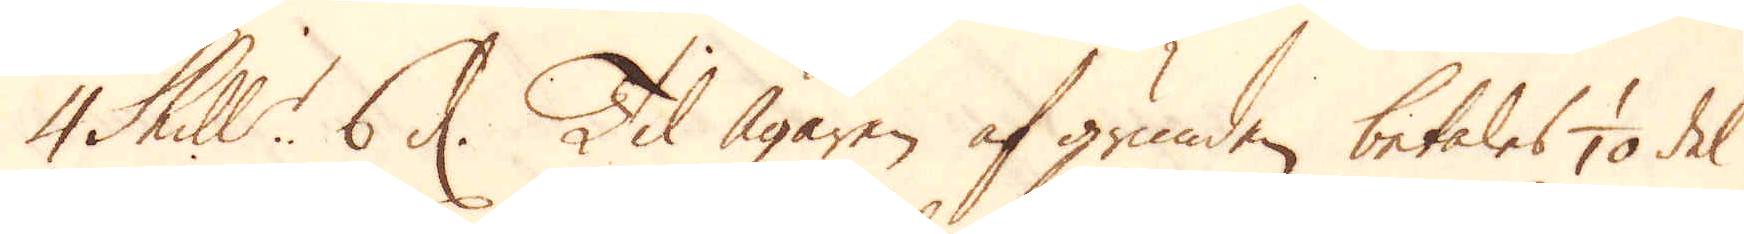4 Skill:r 6 d. Til Ägaren af grunden, betales 1/10 del
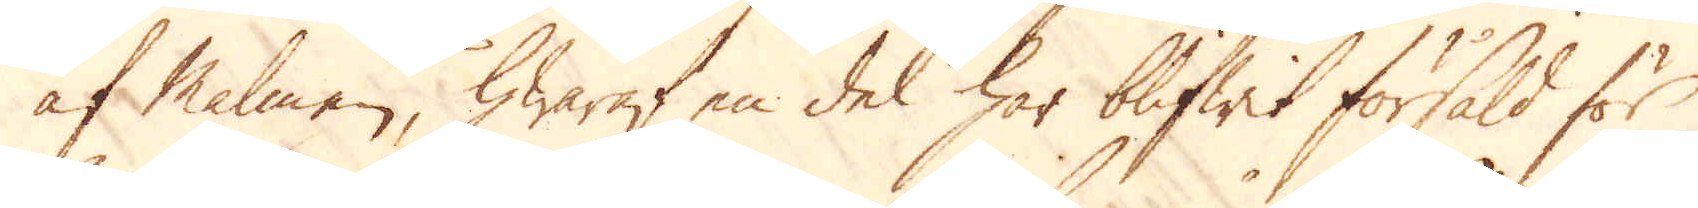af Malmen, hwaraf en del har blifwit försåld för
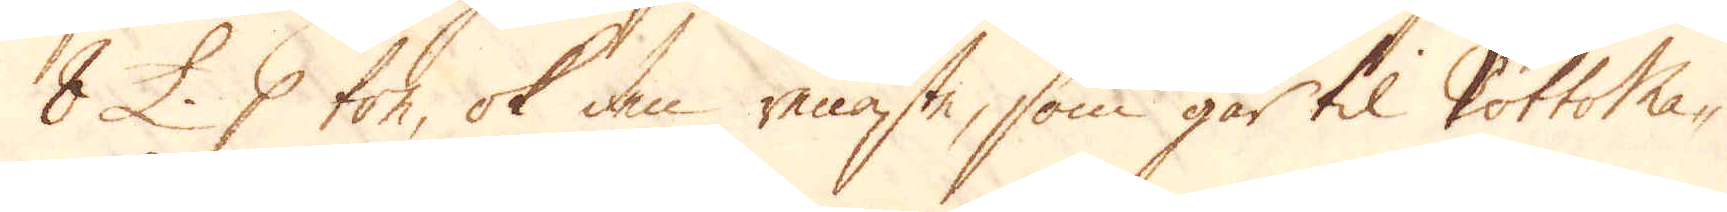8 £. p ton, ok den renste, som går til Pottoma-
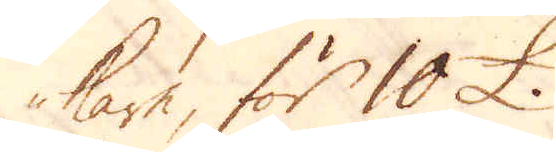kare, för 10 £.
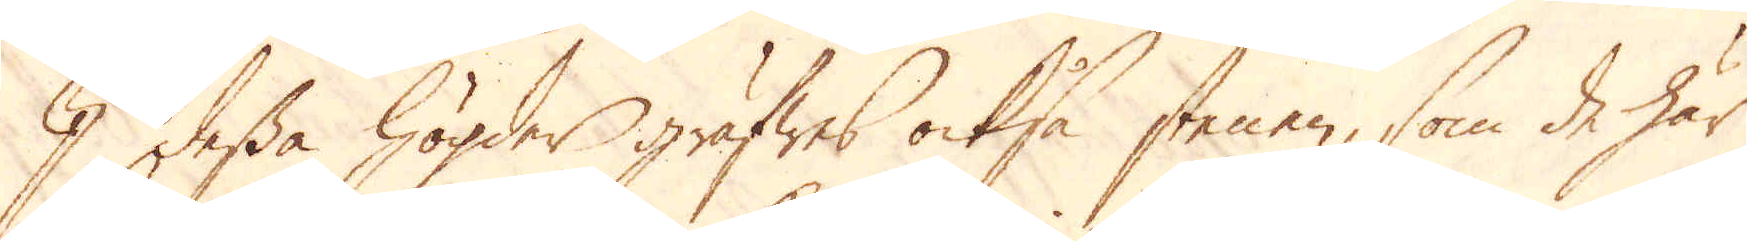I dessa högder gräfwes också stenen, som de här
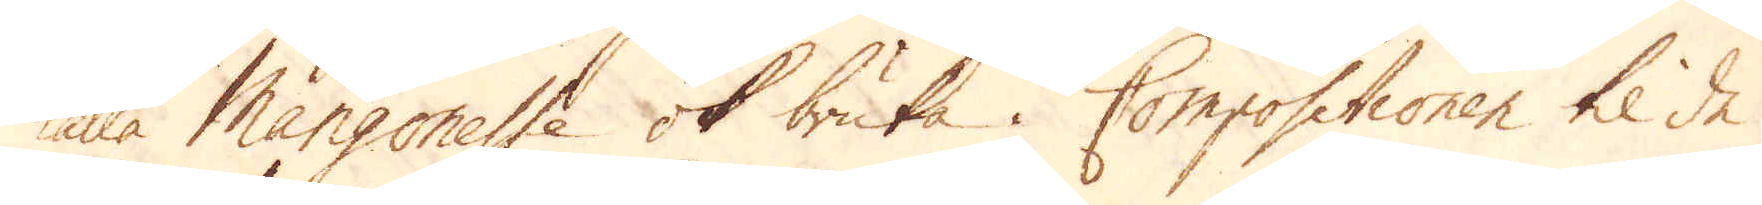kalla Mangonesse ok bruka i Compositionen til de
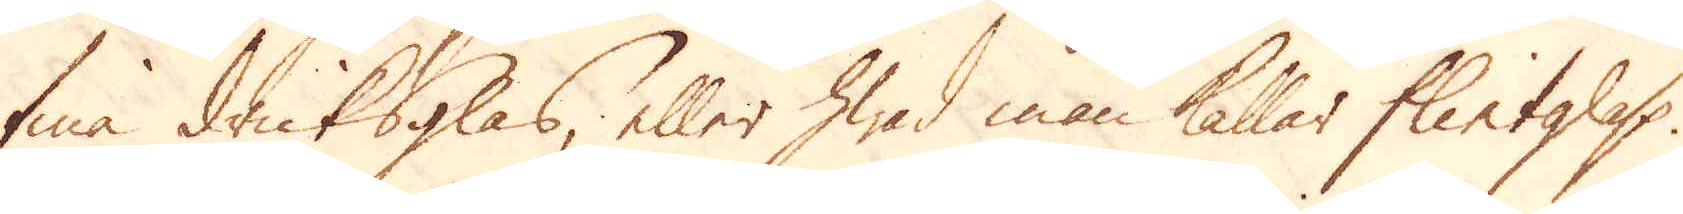fina dricksglas, eller hwad man kallar Flintglass.
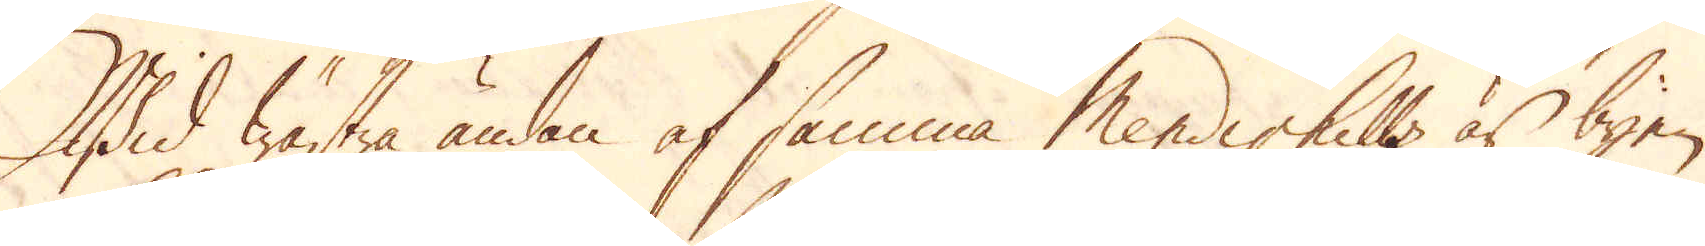Wid wästra ändan af samma Mendiphills är byen
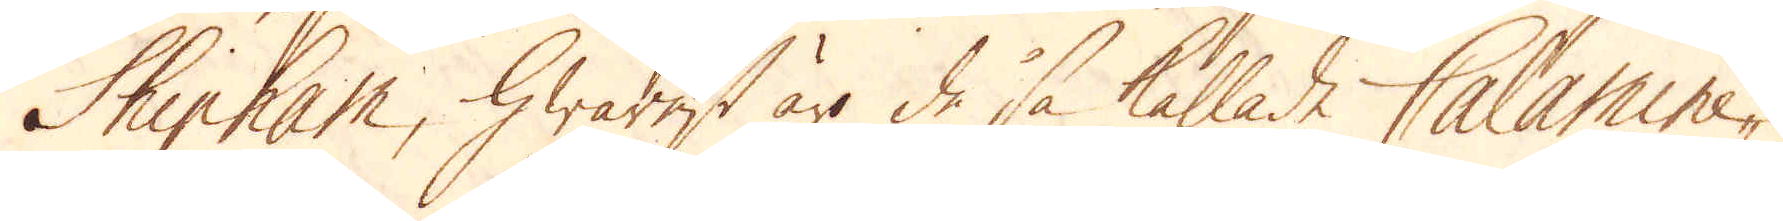Shipham, hwarest är de så kallade Calamine-
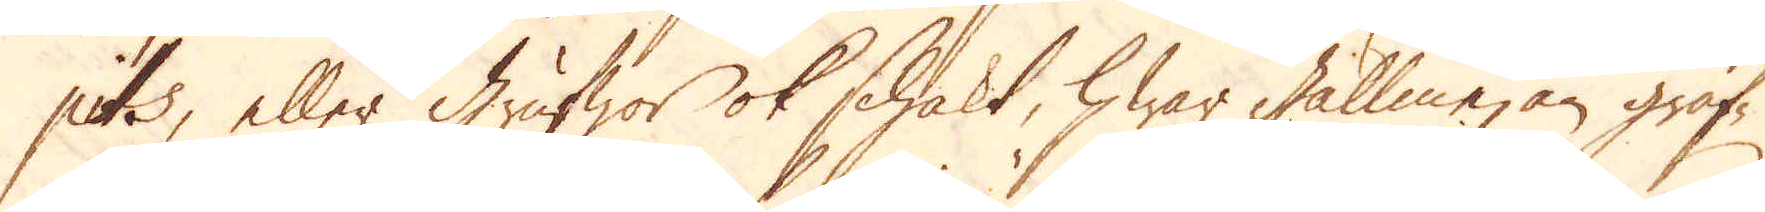pits, eller grufwor ok schakt, hwar gallmejan gräf-
